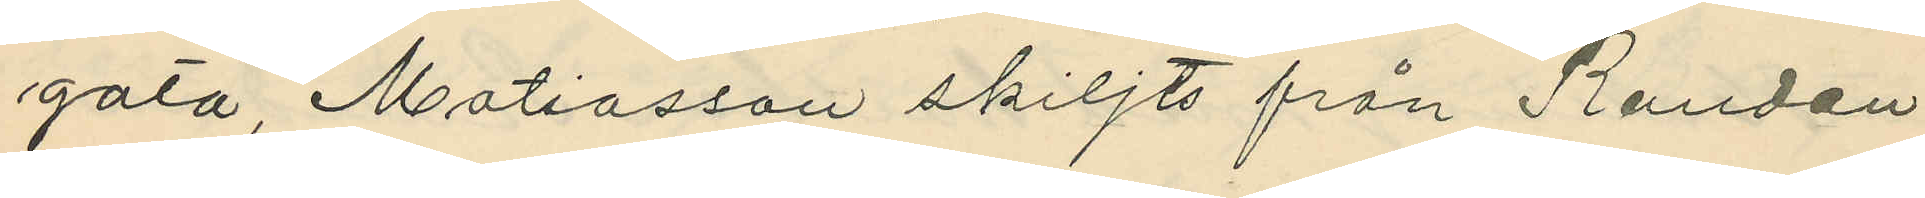gata, Matiasson skiljts från Randau
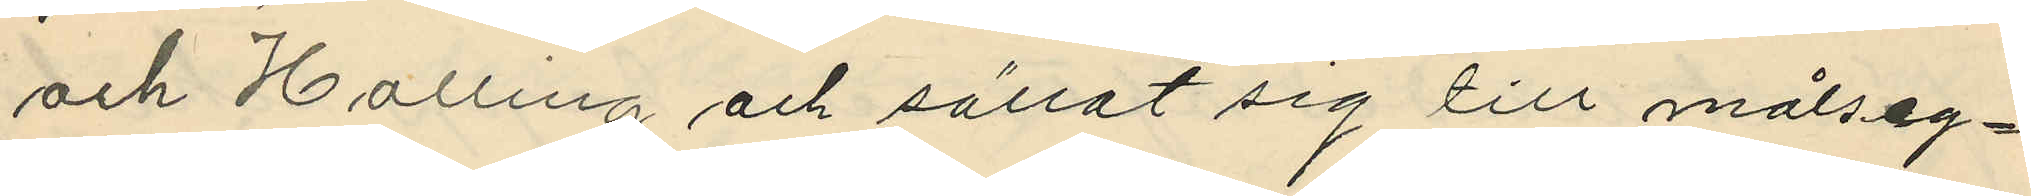och Halling och sällat sig till målseg¬
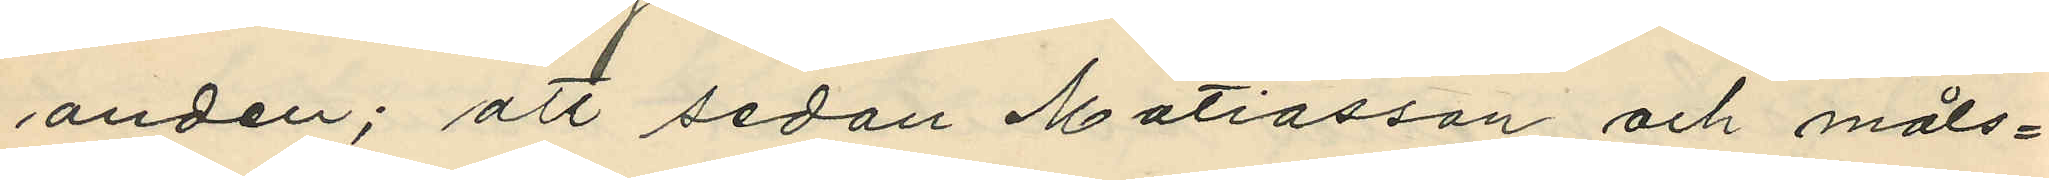anden; att sedan Matiasson och måls¬
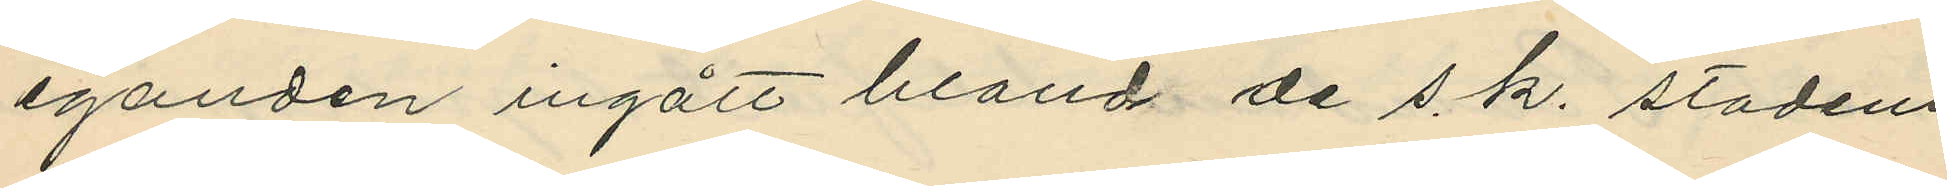eganden ingått bland de s. k. stadens
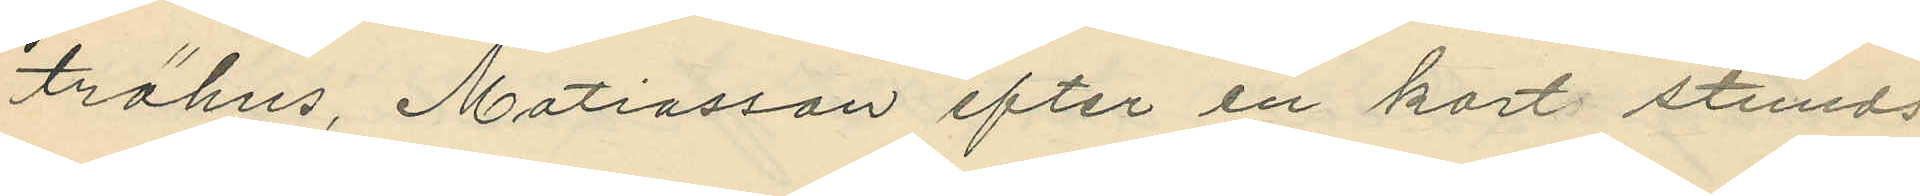trähus, Matiasson efter en kort stunds
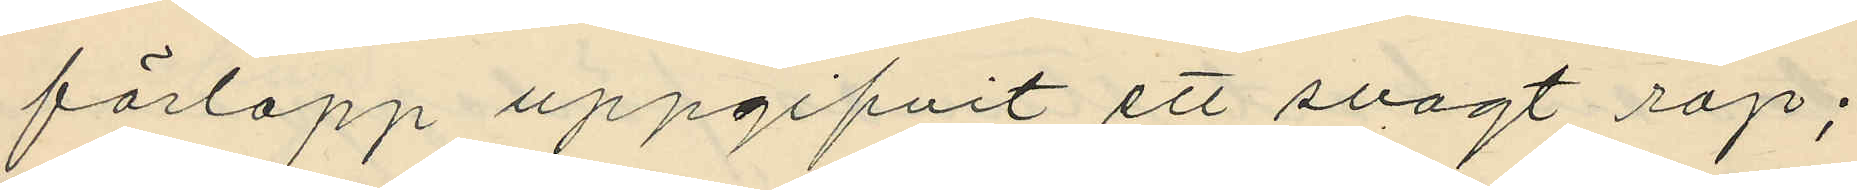förlopp uppgifvit ett svagt rop;
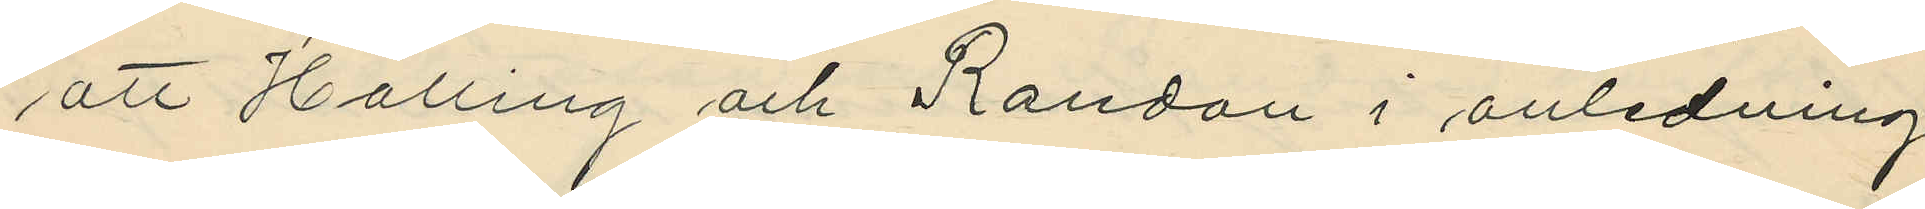att Halling och Randau i anledning
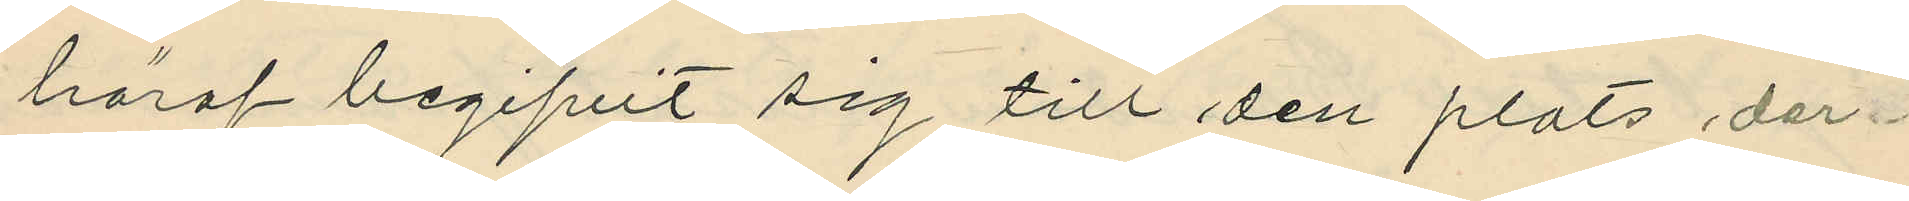häraf begifvit sig till den plats der
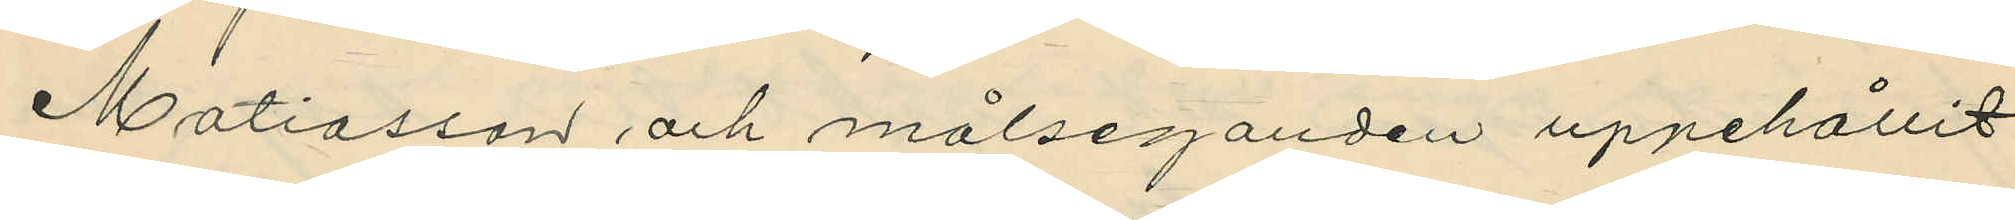Matiasson och målseganden uppehållit
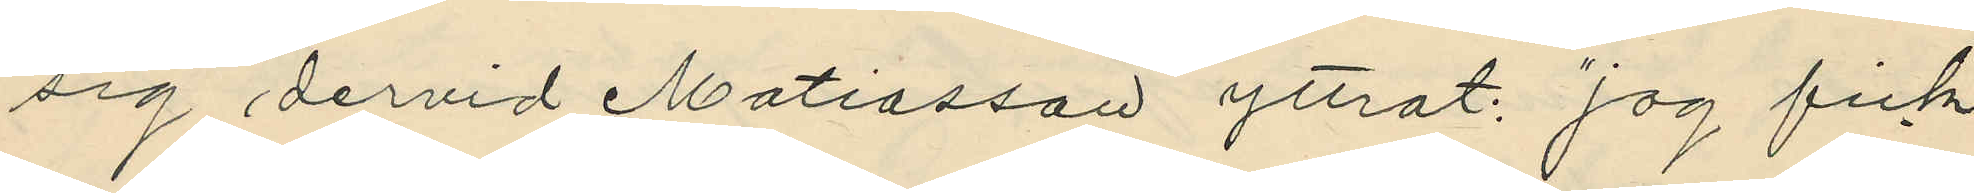sig dervid Matiasson yttrat: "jag fick
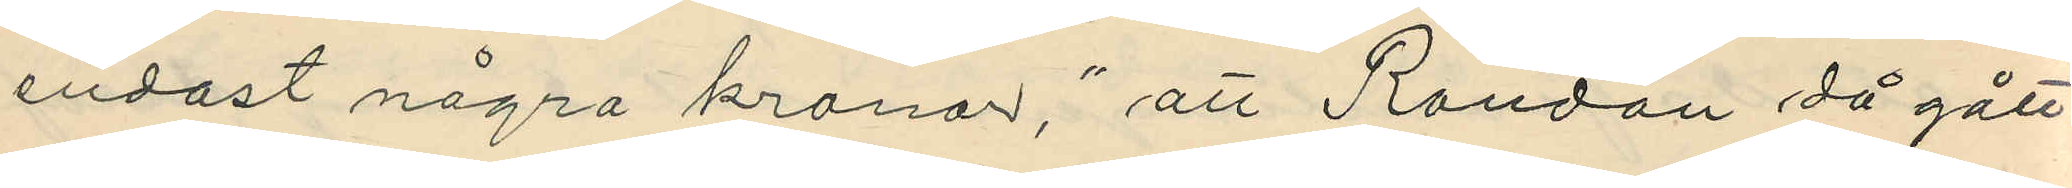endast några kronor", att Randau då gått
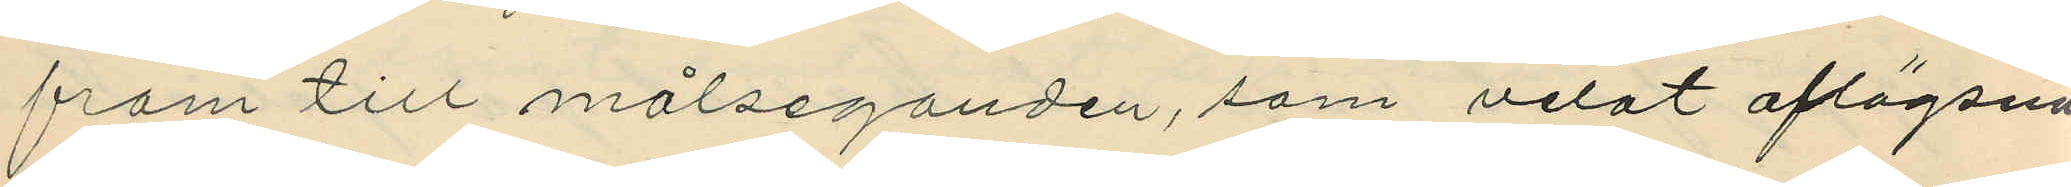fram till målseganden, som velat aflägsna
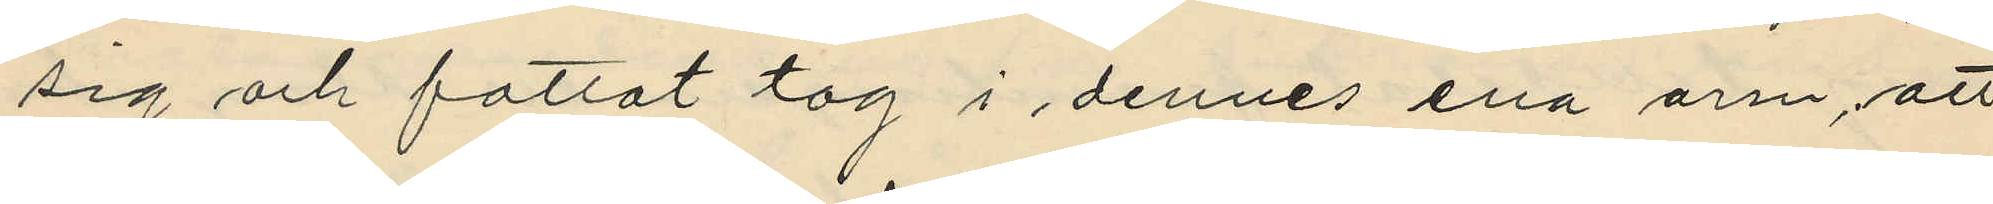sig och fattat tag i dennes ena arm, att
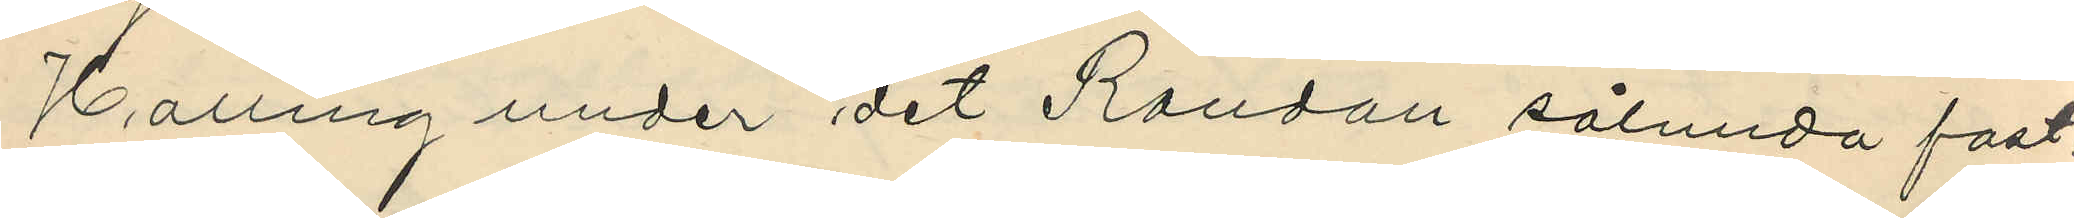Halling under det Randau sålunda fast¬
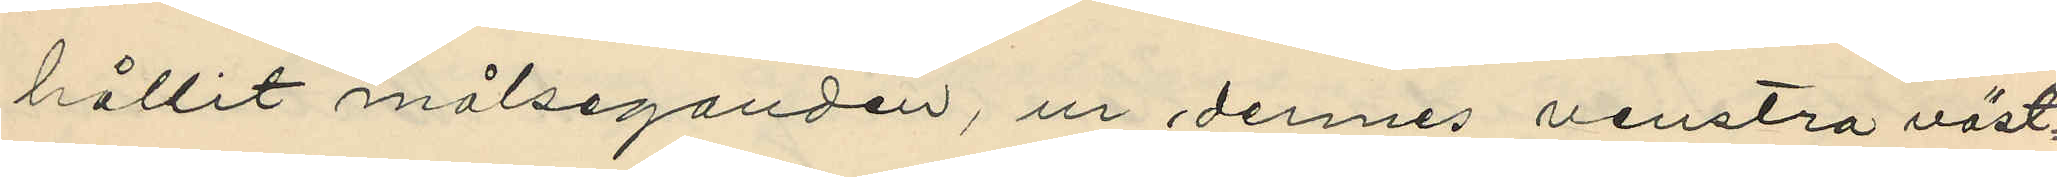hållit målseganden, ur dennes venstra väst¬
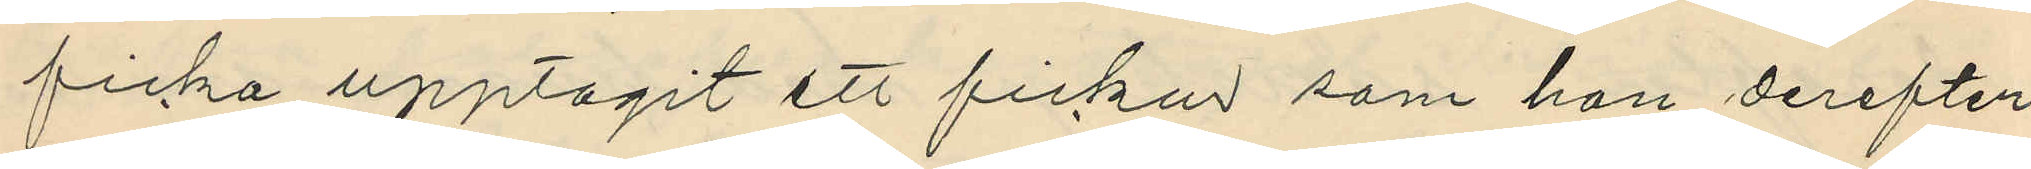ficka upptagit ett fickur som han derefter
